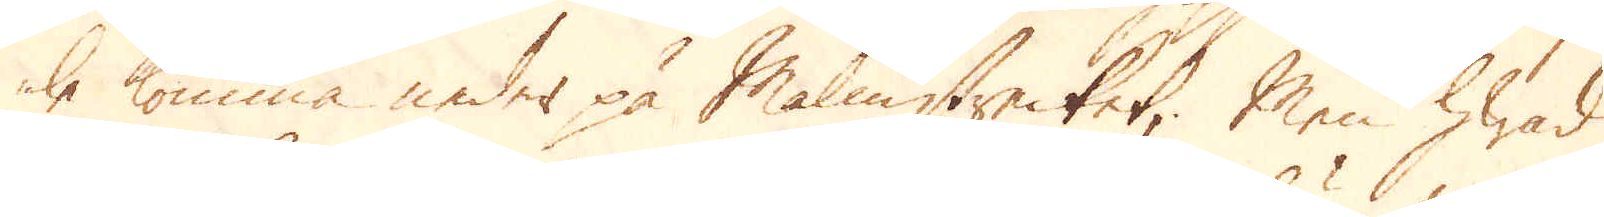le komma neder på Malmstrecket; Men hwad
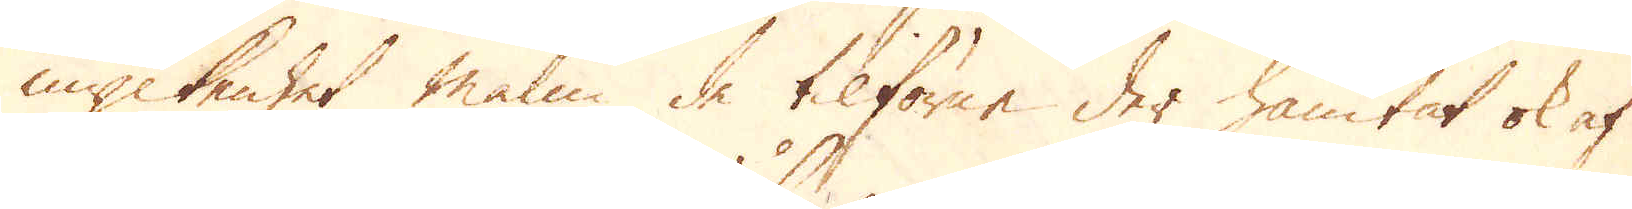myckenhet malm de tilförne der hämtat ok af
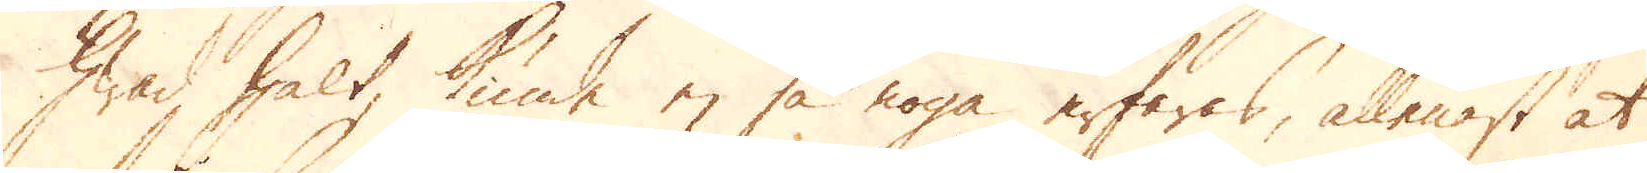hwad halt, kunde ej så noga erfaras, allenast at
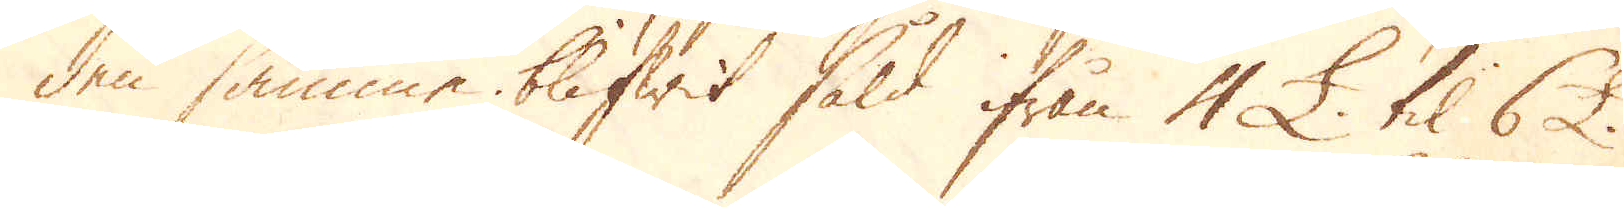den samma blifwit såld ifrån 4 £. til 6 £.
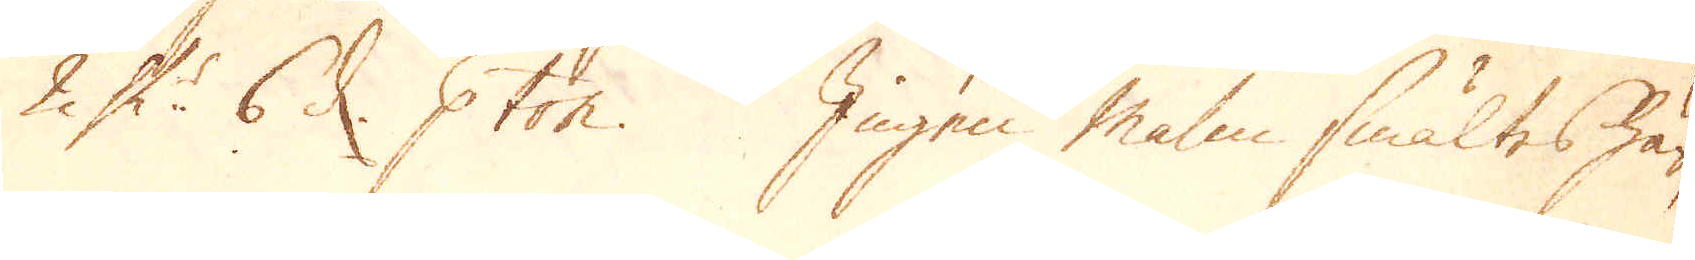2 Sk:r 6 d. p ton. Ingen Malm smältes här,
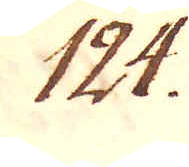124.
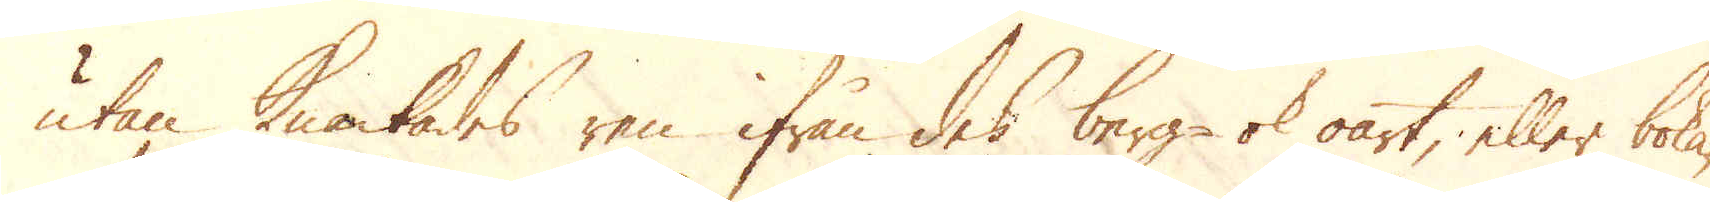utan knackades ren ifrån des berg- ok oart; eller boka-
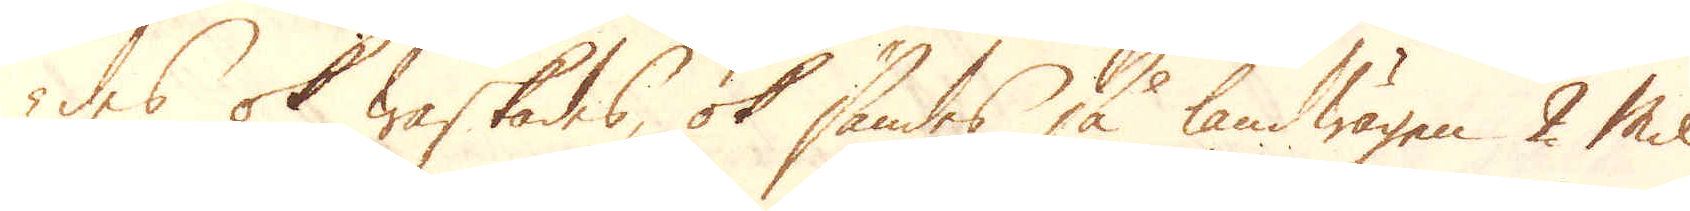des ok waskades, ok sändes så landwägen 2 Mil
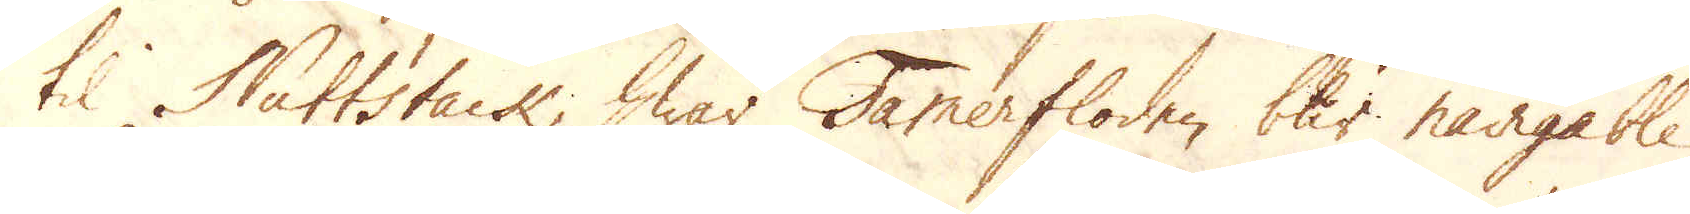til Nuttstack, hwar Tamerfloden blir navigable,
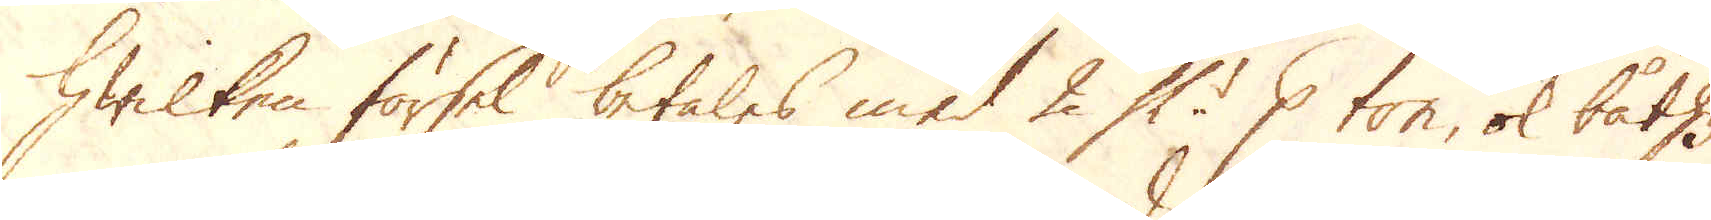hwilken försel betales med 2 Sk:r p ton, ok båthy-
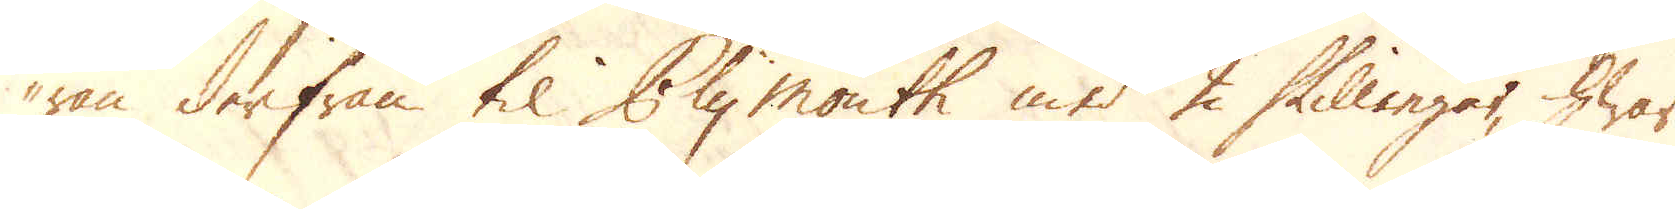ran derifrån til Plymouth med 2 Skillingar, hwar
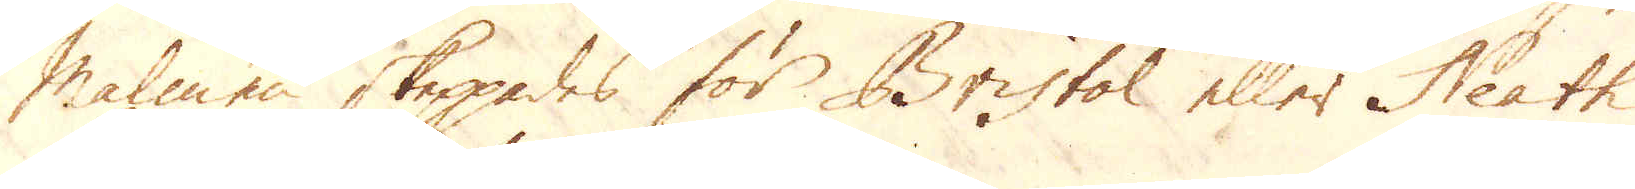Malmen skeppades för Bristol eller Neath
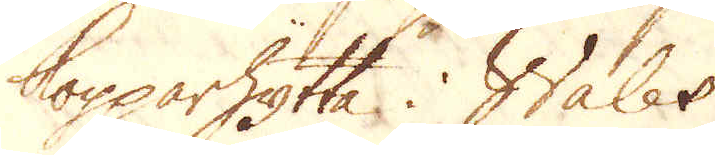kopparhytta i Wales.
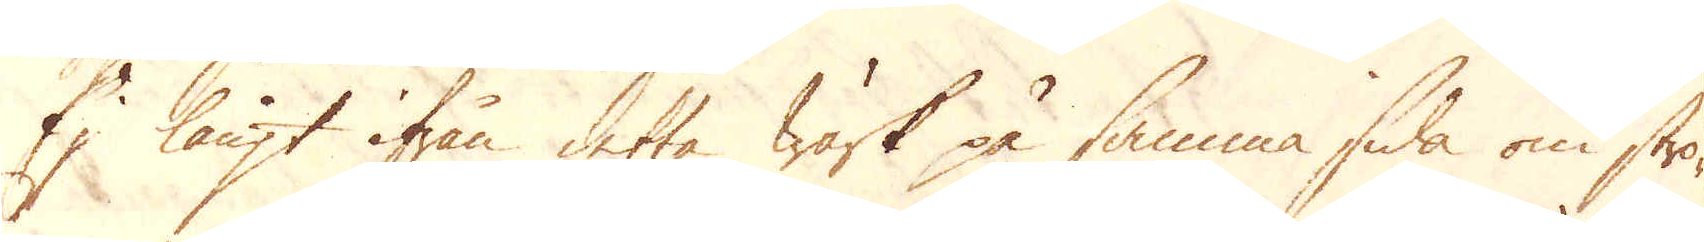Ej långt ifrån detta Wärk på samma sida om strö-
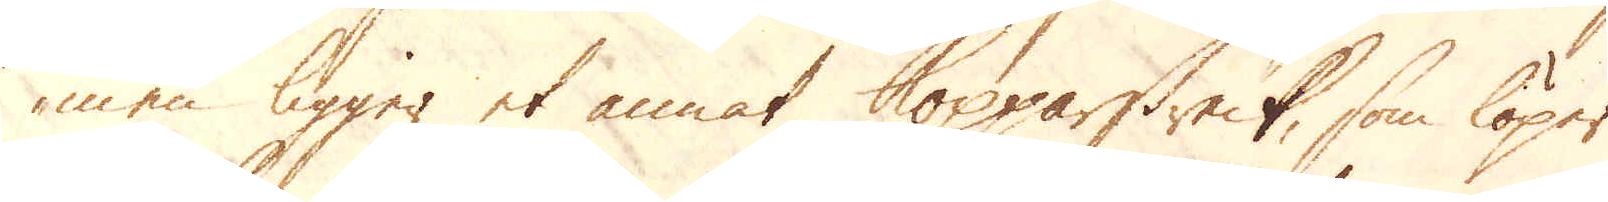men ligger et annat Kopparstreck, som löper
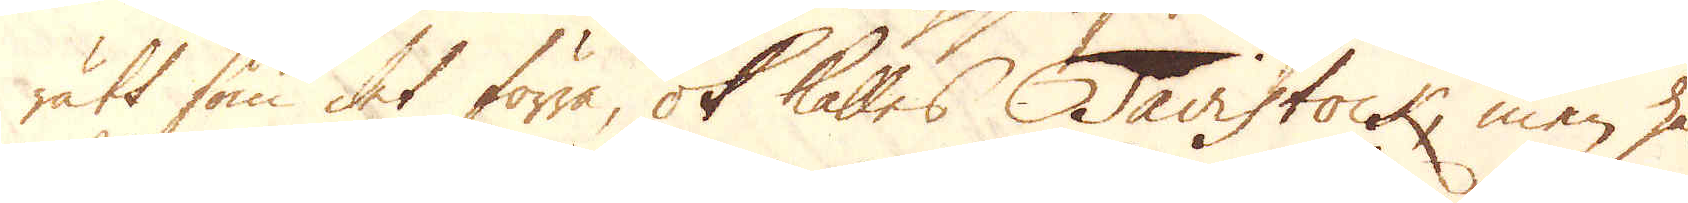rätt som det förra, ok kalles Tavistock, men har
